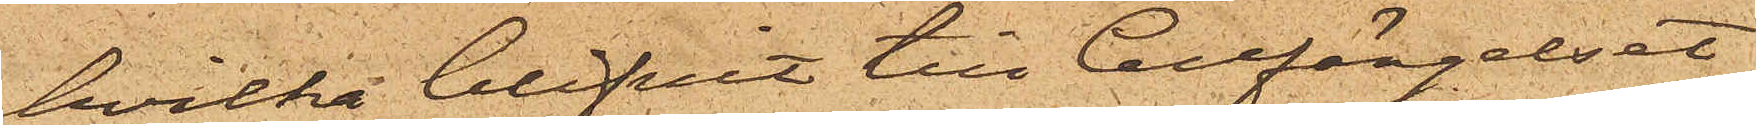hvilka blifvit till Cellfängelset
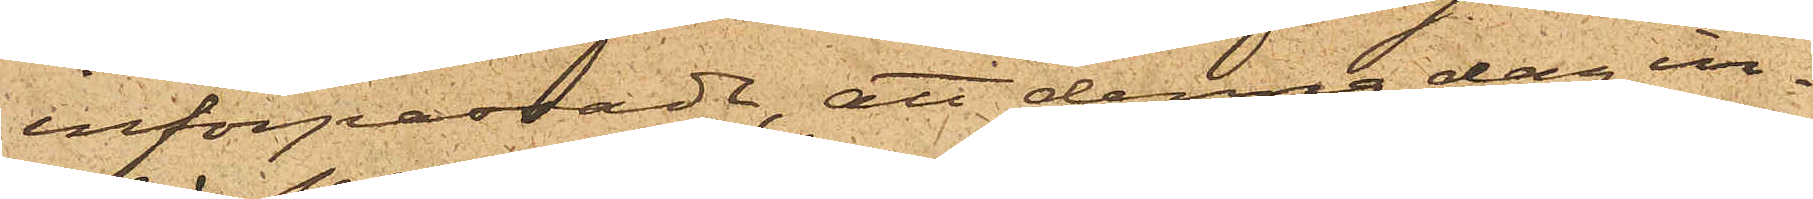införpassade, att denna dag in¬
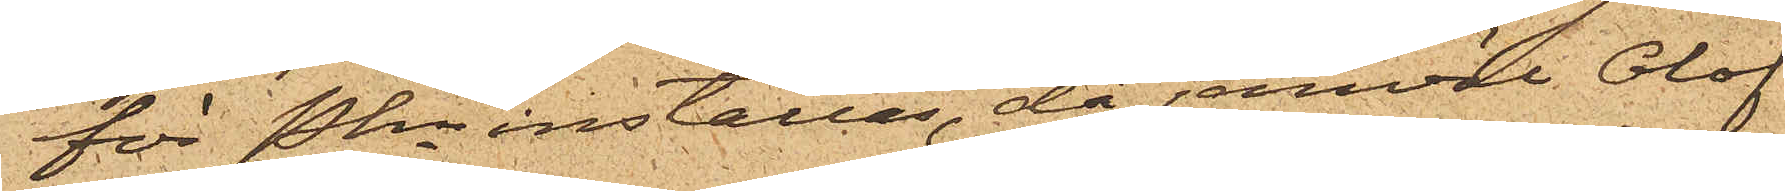för Pkn inställas, då jemväl Olof
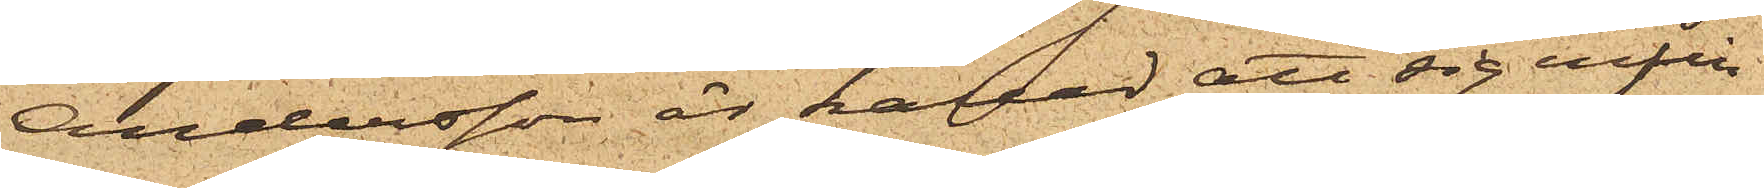Andersson är kallad att sig infin¬
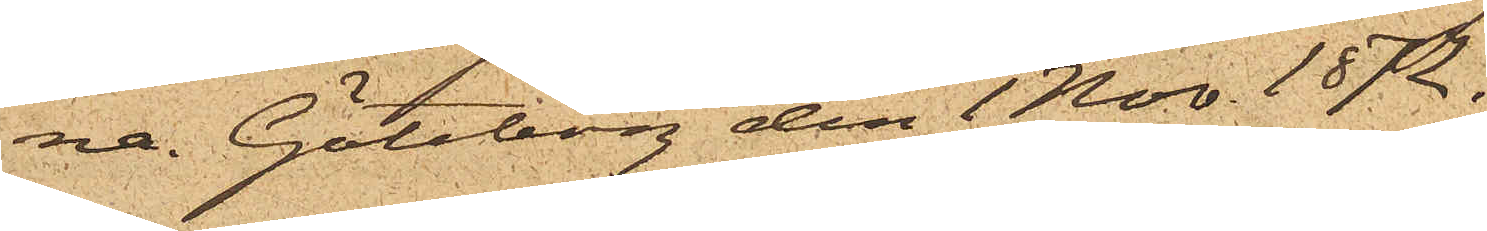na. Göteborg den 1 Nov. 1872.
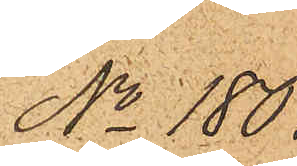No 180.
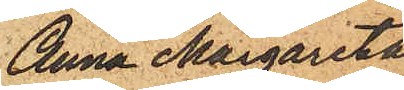Anna Margareta
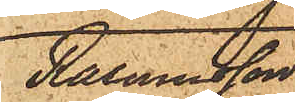Rasmusson
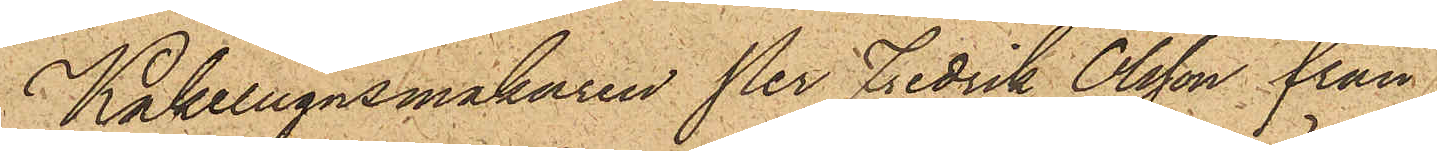Kakelugnsmakaren Per Fredrik Olsson från
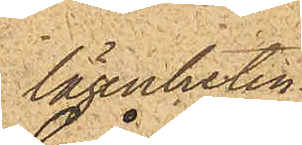lägenheten
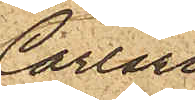Carlsro
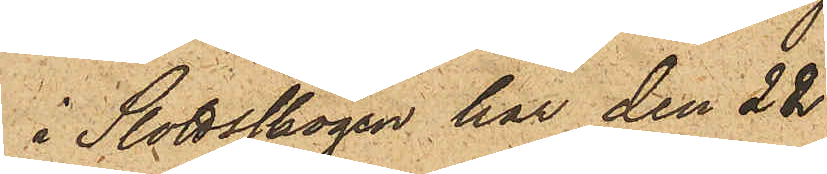i Slottskogen har den 22
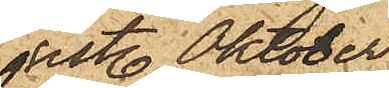sistl. Oktober
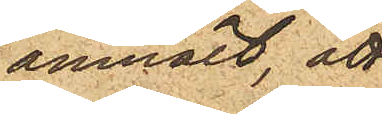anmält, att
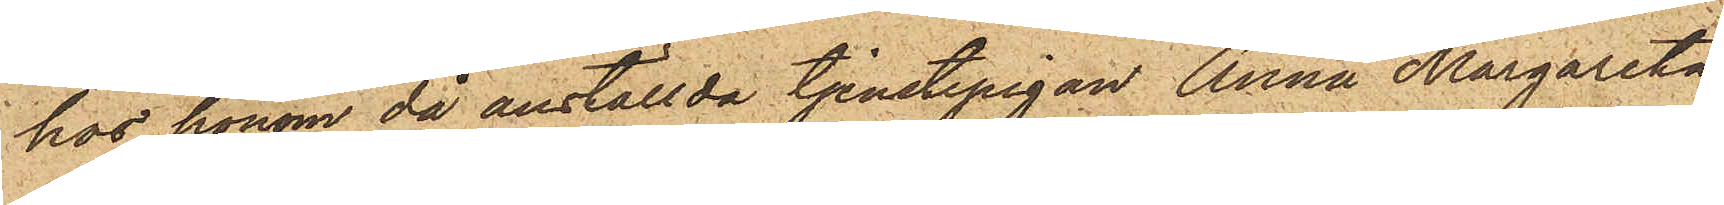hos honom då anställda tjenstepigan Anna Margareta
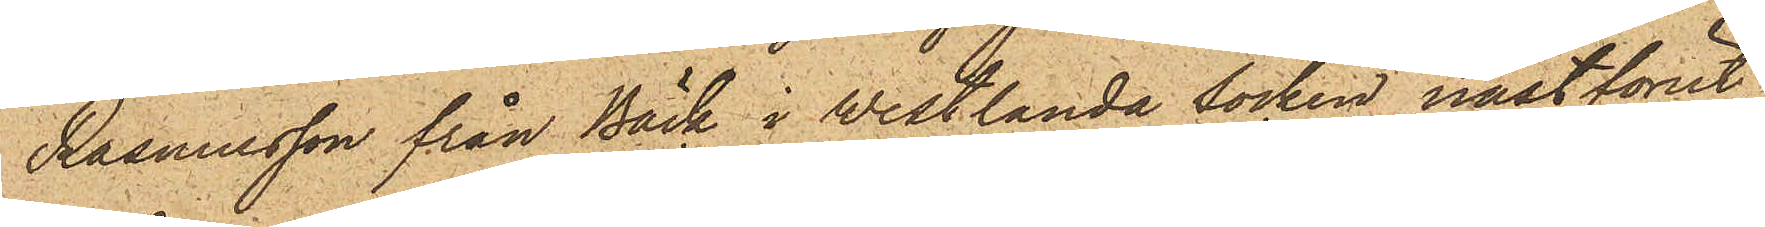Rasmusson från Bäck i Westlanda socken nästförut¬
